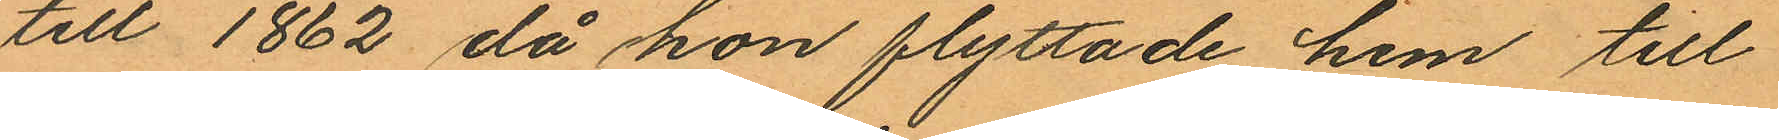till 1862, då hon flyttade hem till
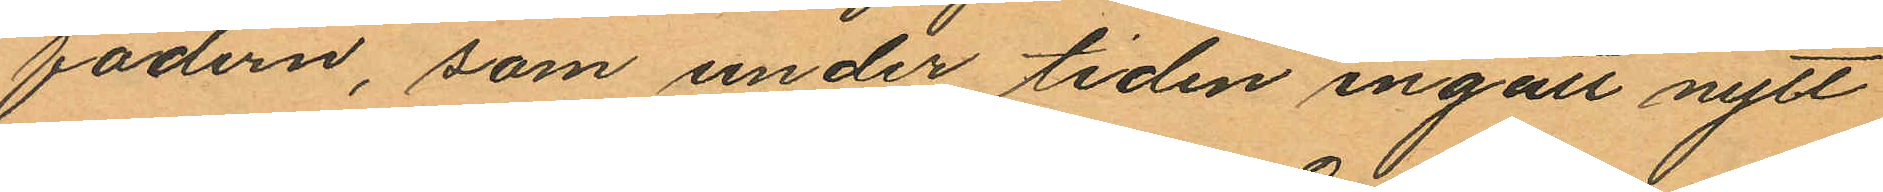fadern, som under tiden ingått nytt
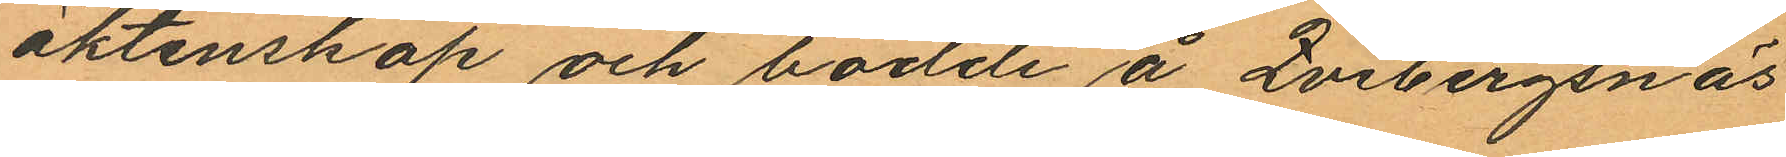äktenskap och bodde å Qvibergsnäs
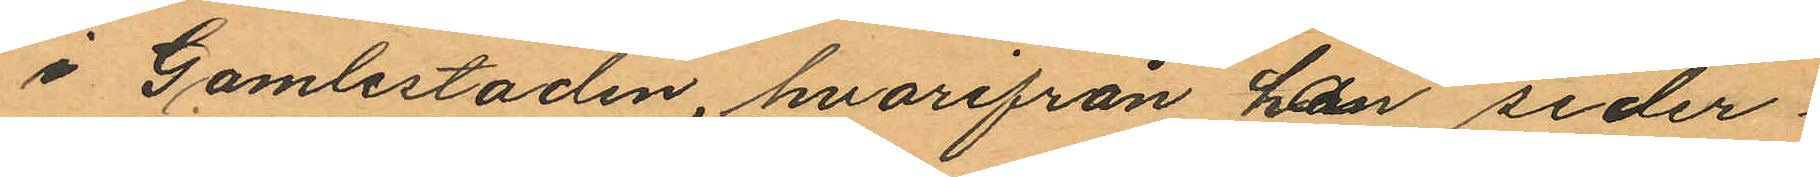i Gamlestaden, hvarifrån hon seder¬
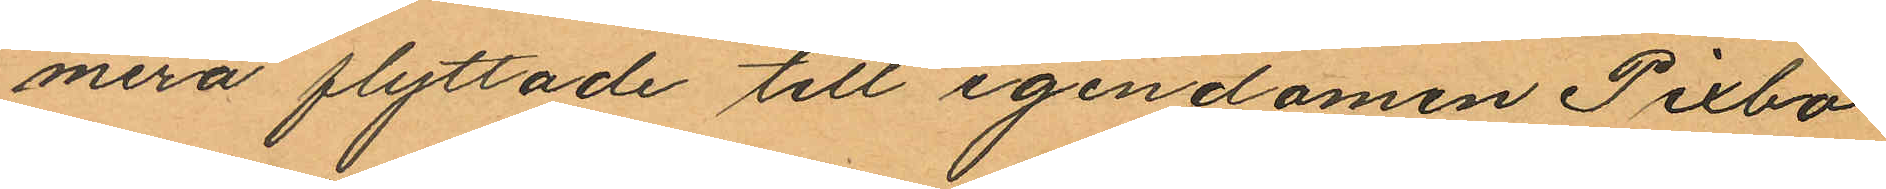mera flyttade till egendomen Pixbo
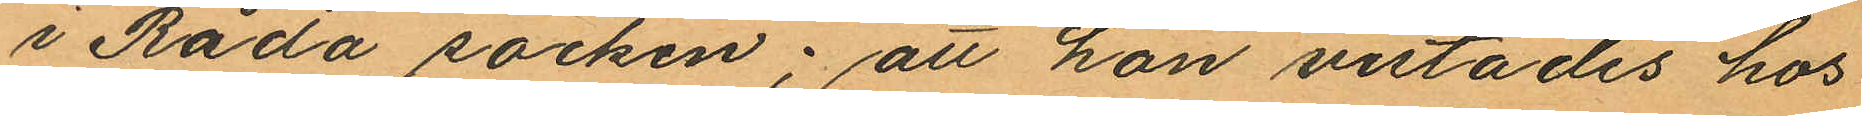i Råda socken; att hon vistades hos
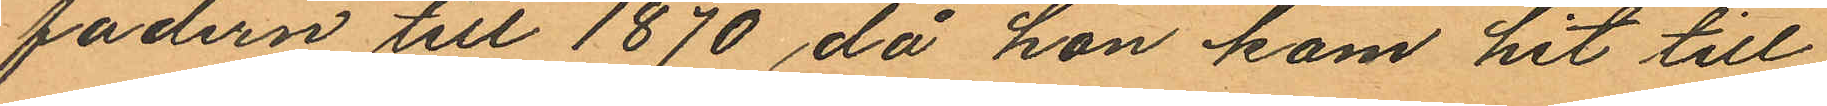fadern till 1870 då hon kom hit till
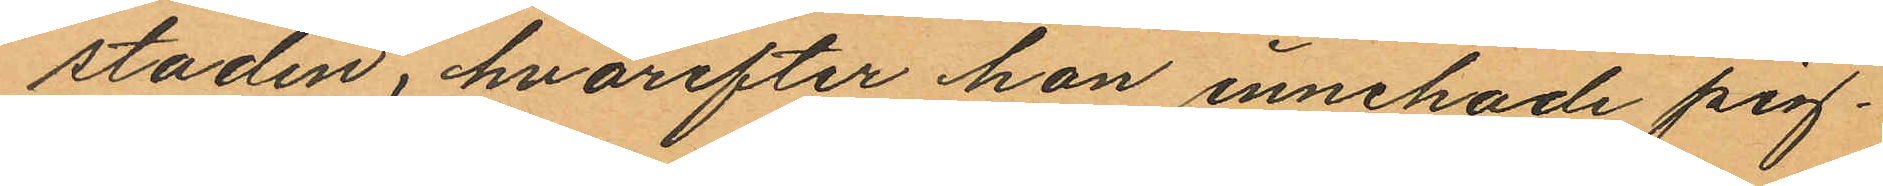staden, hvarefter hon innehade pig¬
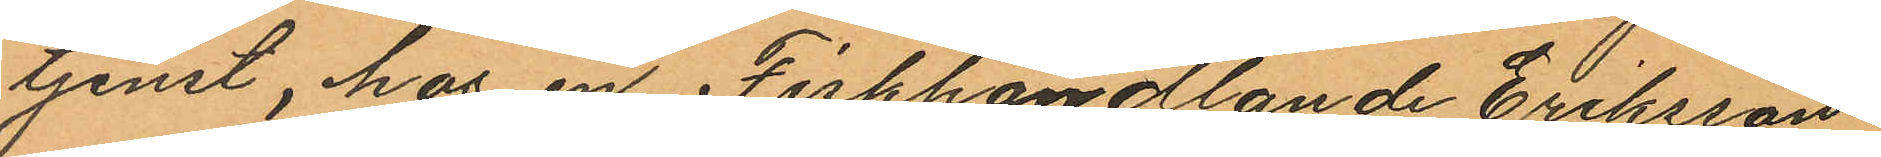tjenst, hos en Fiskhandlande Eriksson
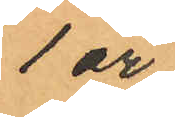1 år,
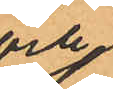och
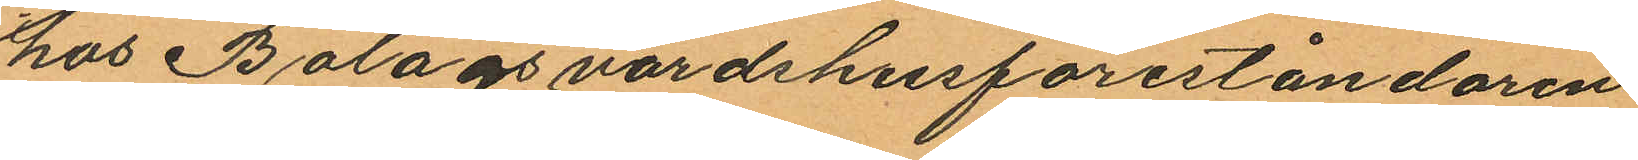hos Bolagsvärdshusföreståndaren
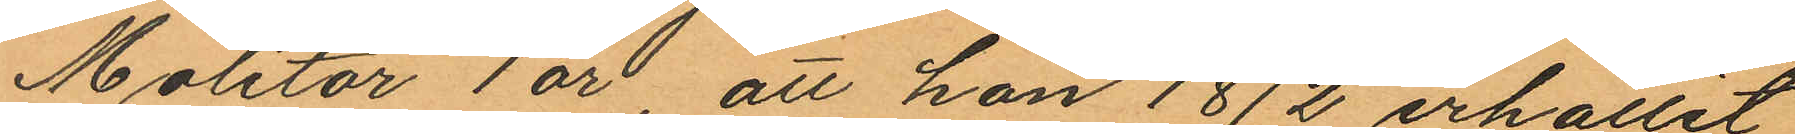Molitor 1 år, att hon 1872 erhållit
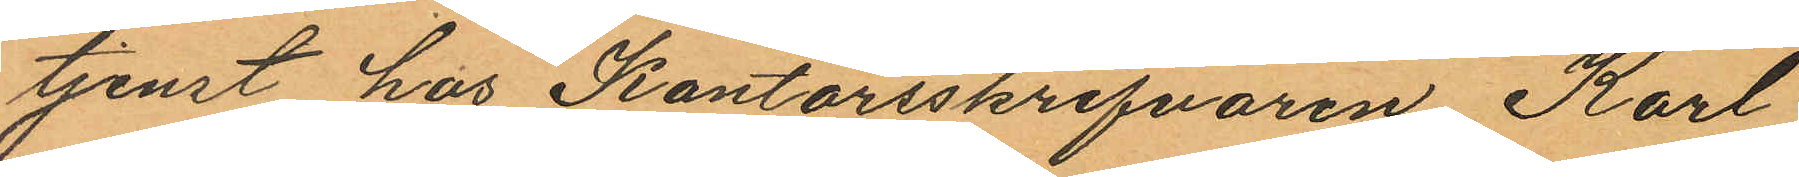tjenst hos Kontorsskrifvaren Karl
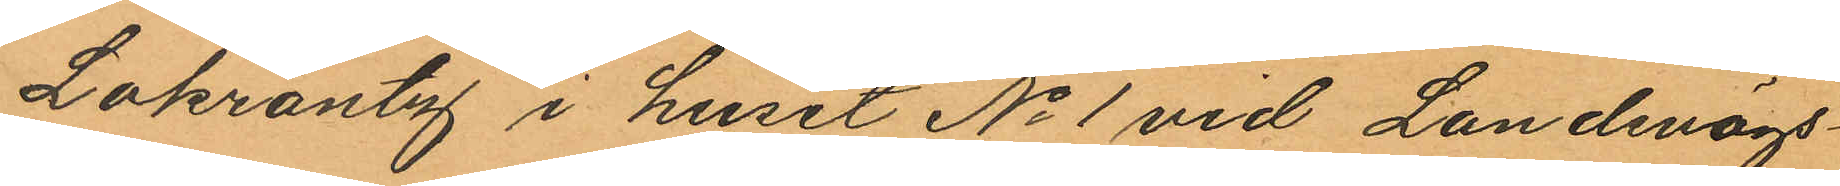Lokrantz i huset No 1 vid Landsvägs¬
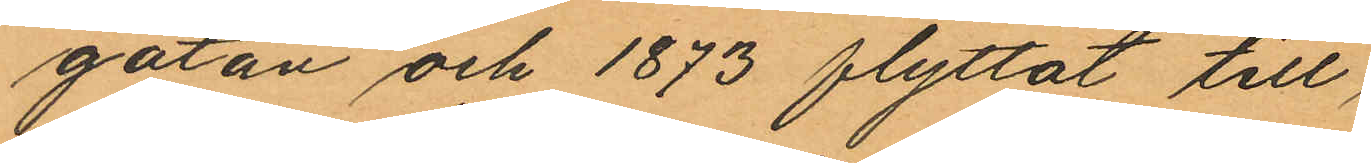gatan och 1873 flyttat till
